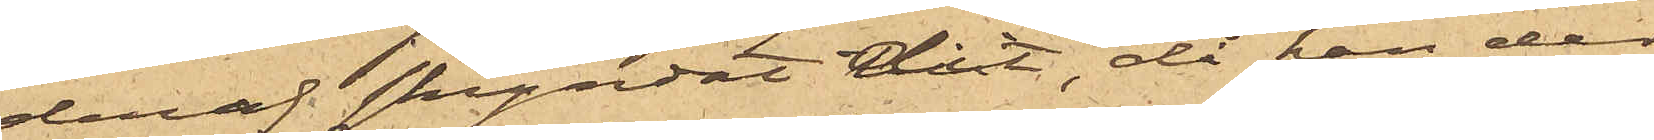deraf skyndat dit, då han der
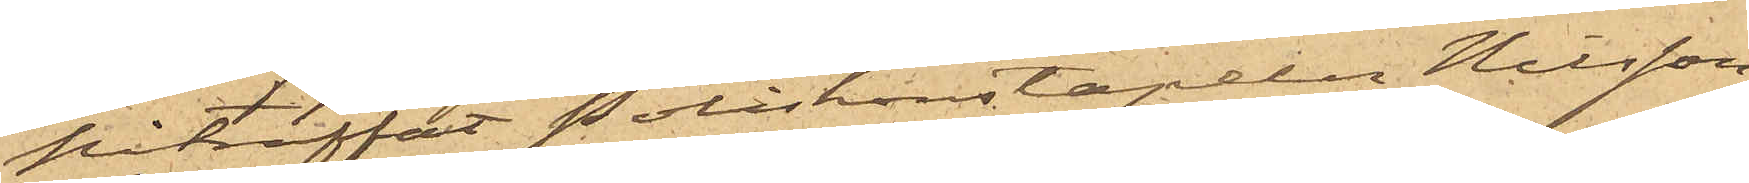påträffat Poliskonstapeln Nilsson
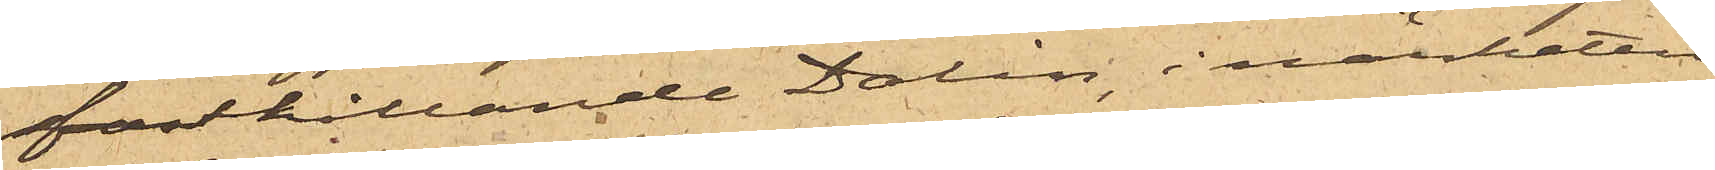fasthållande Dalin, i närheten
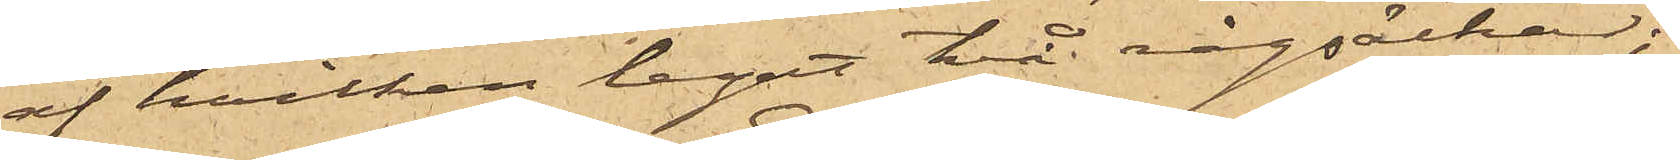af hvilken legat två rågsäckar;
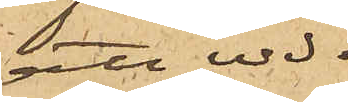att vid
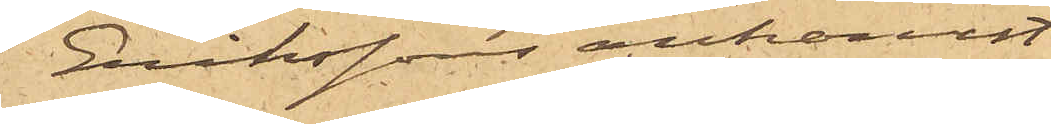Erikssons ankomst
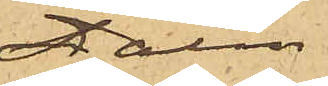Dalin
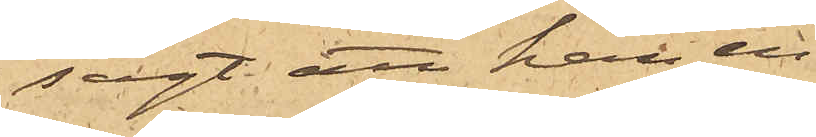sagt att han en¬
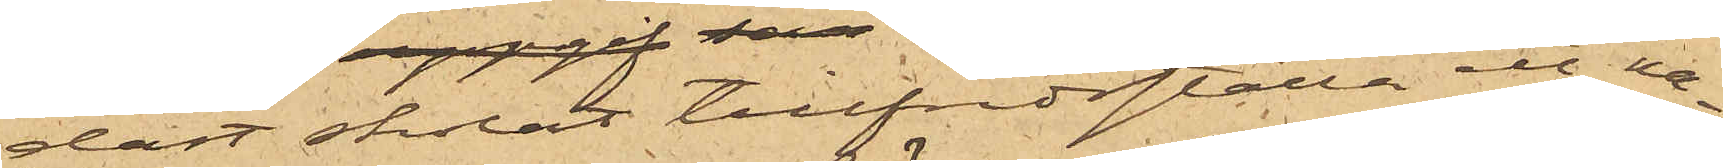dast skolat tillfredsställa ett na¬
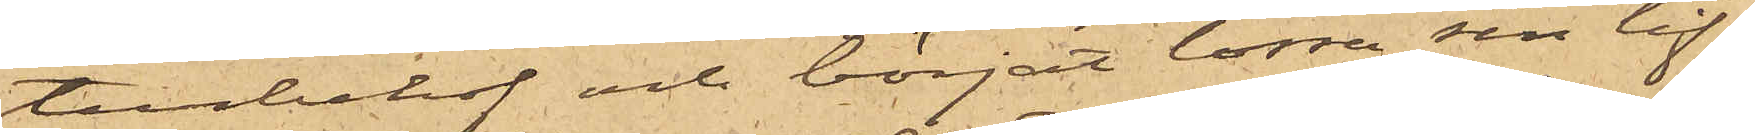turbehof och börjat lossa sin lif¬
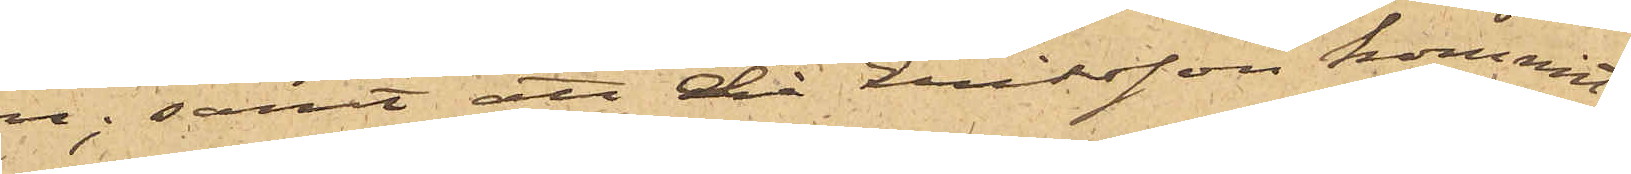rem; samt att då Eriksson kommit
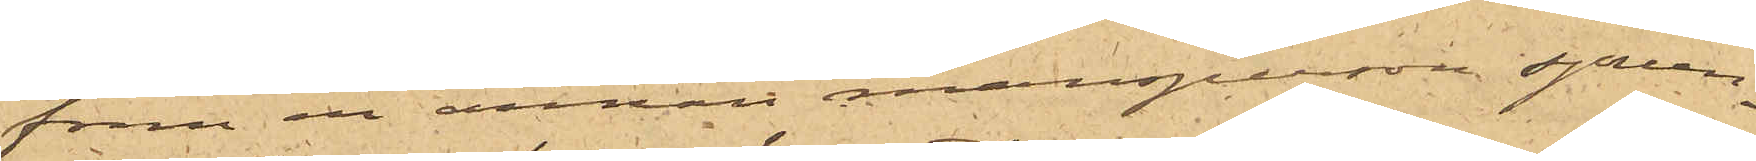fram en annan mansperson sprun¬
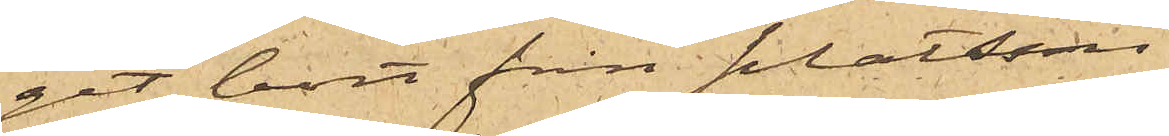git bort från platsen.
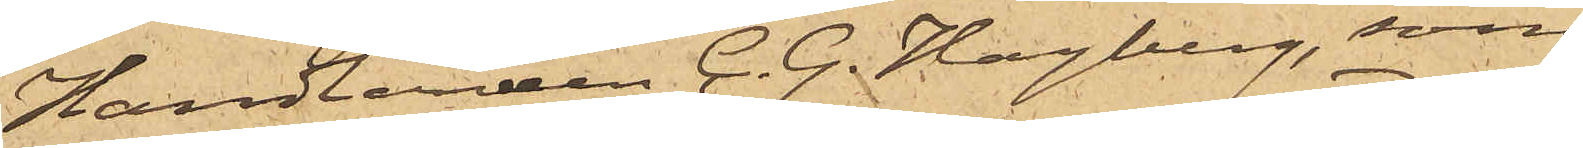Handlanden C. G. Hagberg, som
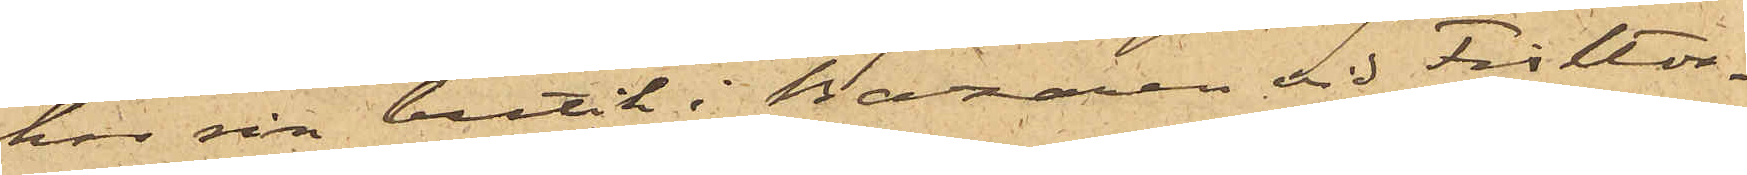hos sin butik i Bazaren vid Fisktor¬
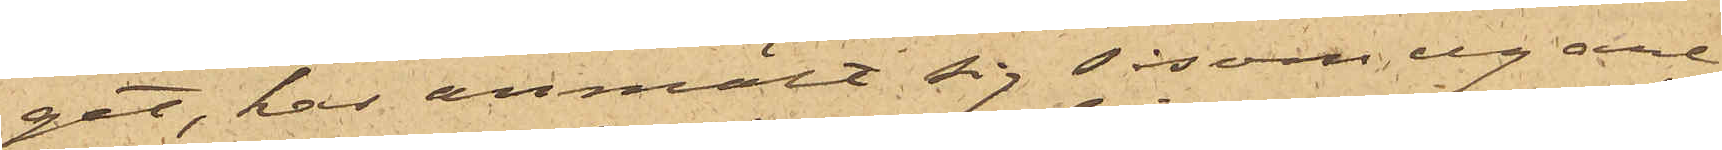get, har anmält sig såsom egare
